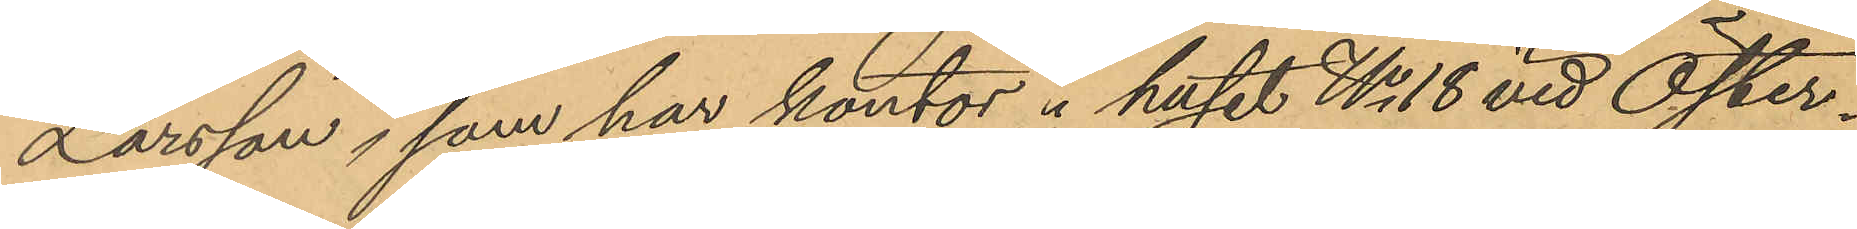Larsson, som har kontor i huset No 18 vid Öster¬
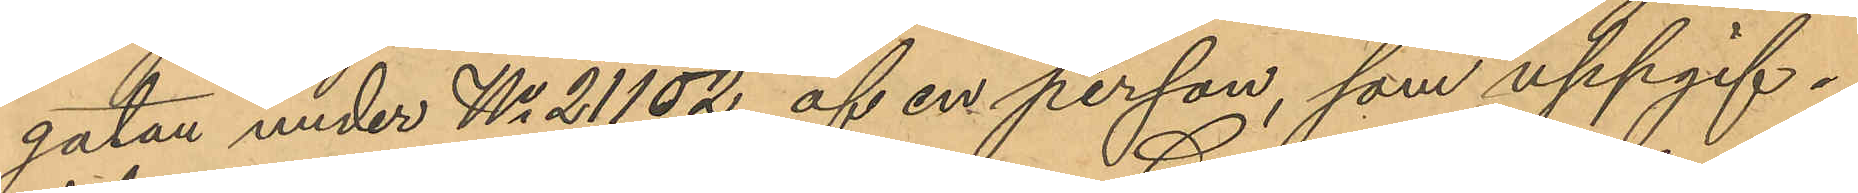gatan under No 21102 af en person, som uppgif¬
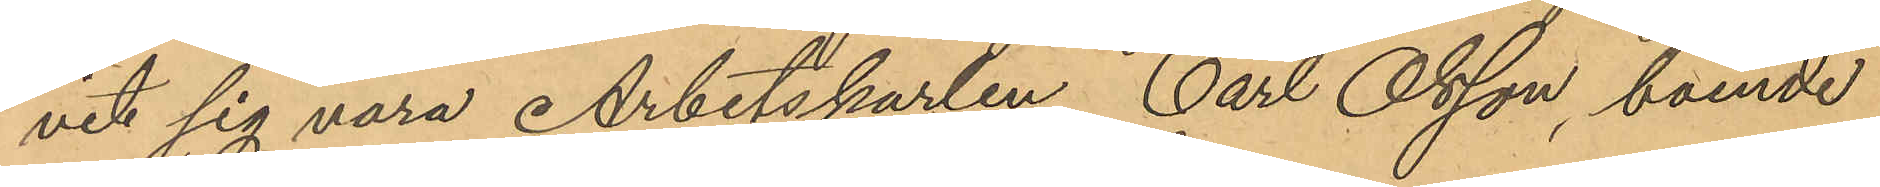vit sig vara Arbetskarlen Carl Olsson, boende
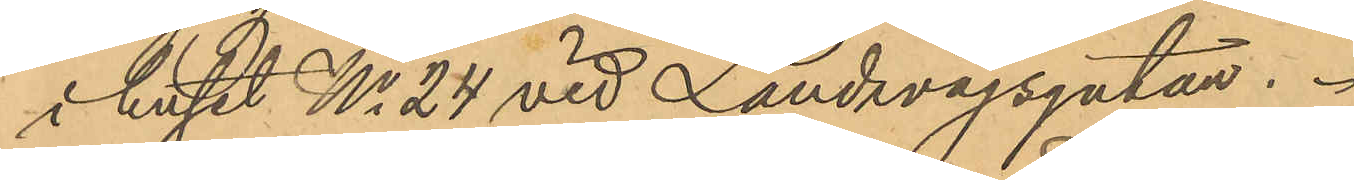i huset No 24 vid Landsvägsgatan.
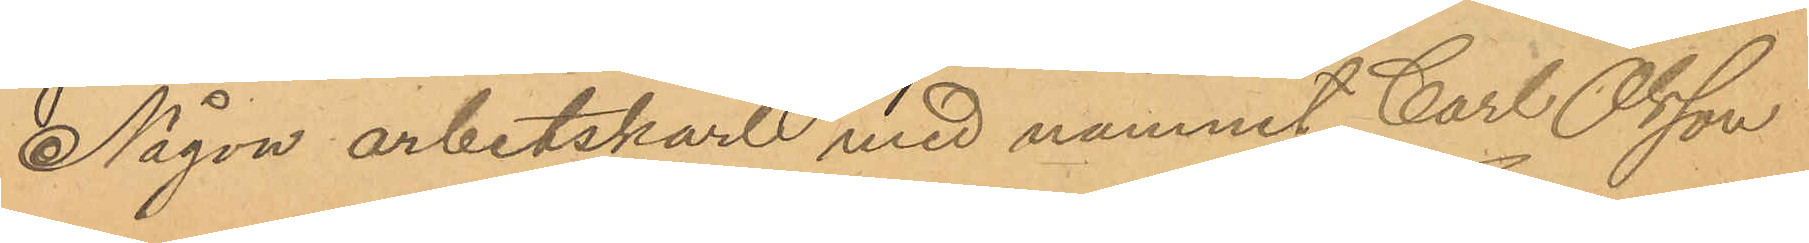Någon arbetskarl med namnet Carl Olsson
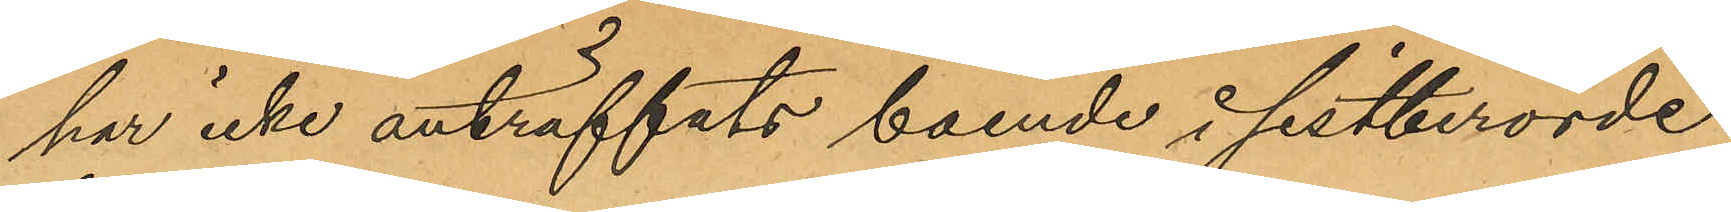har icke anträffats boende i sistberörde
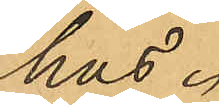hus.
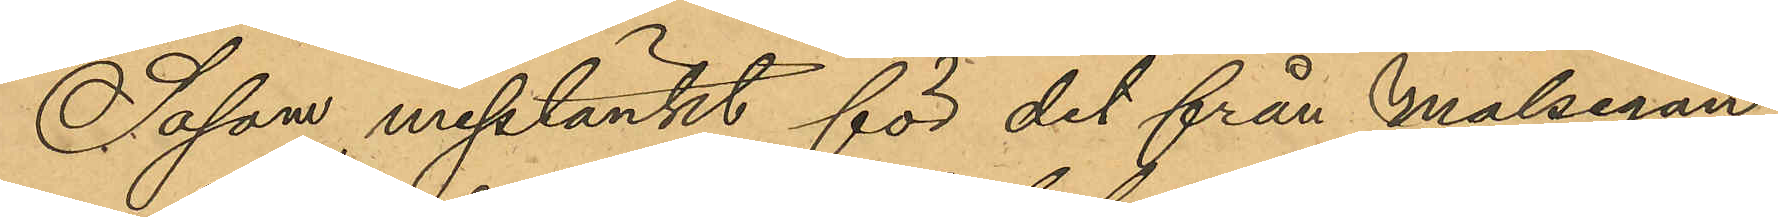Såsom misstänkt för det från målsegan¬
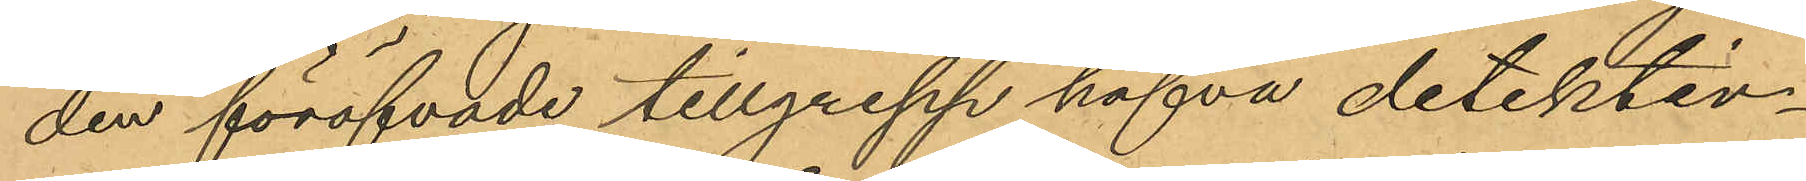den föröfvade tillgrepp hafva detektiv¬
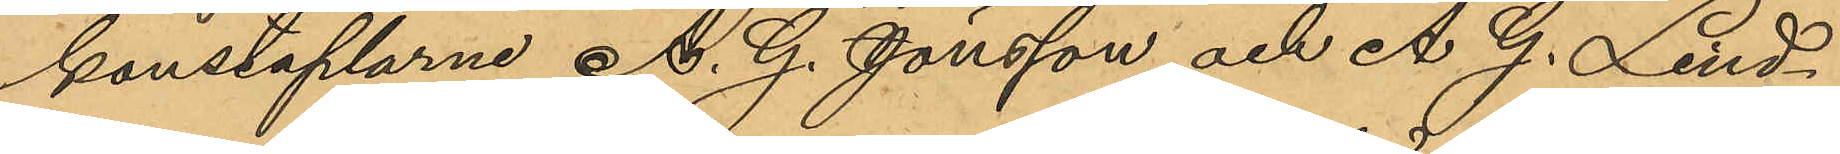konstaplarne A. G. Jönsson och A. G. Lind¬
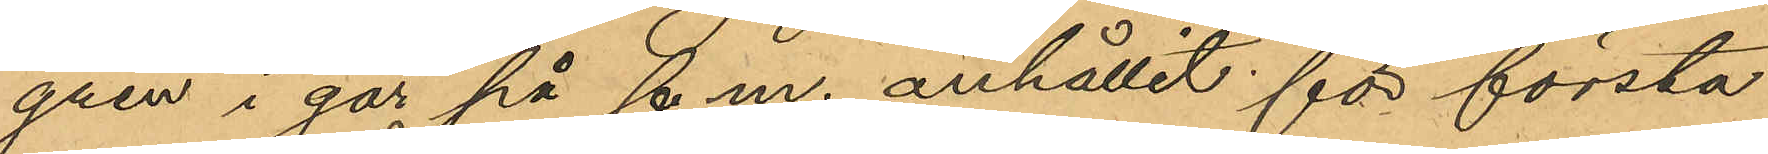gren i går på f. m. anhållit för första
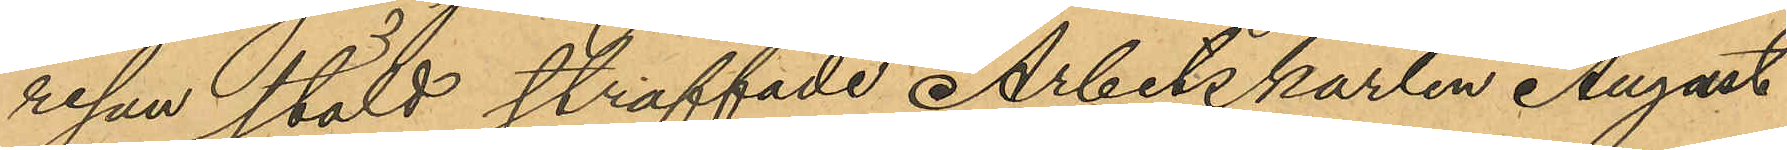resan stöld straffade Arbetskarlen August
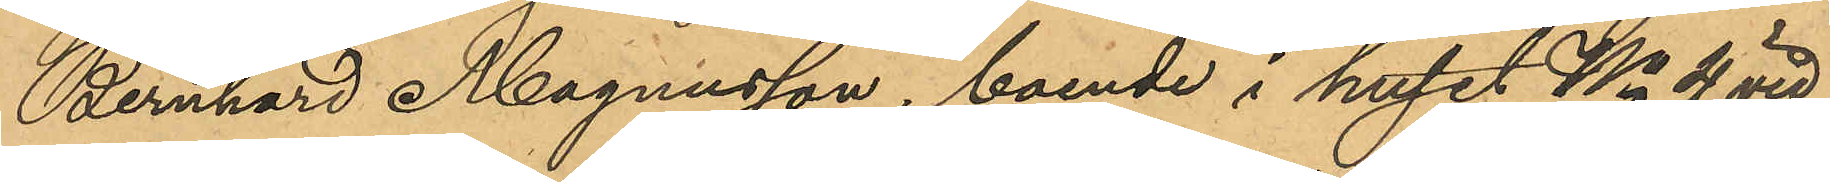Bernhard Magnusson, boende i huset No 4 vid
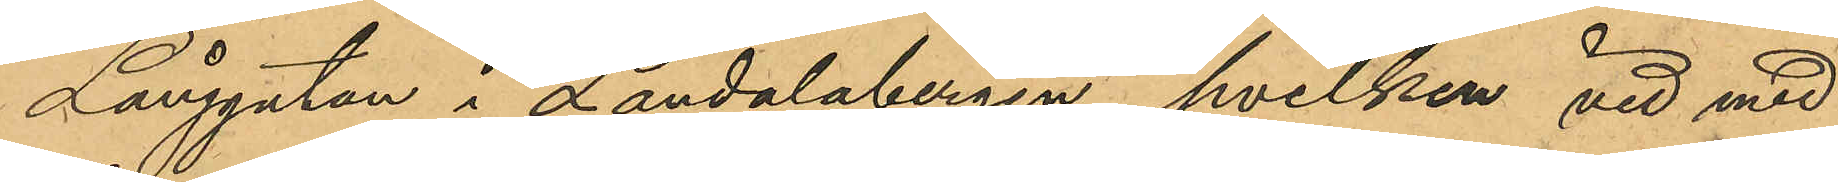Långgatan i Landalabergen, hvilken vid med
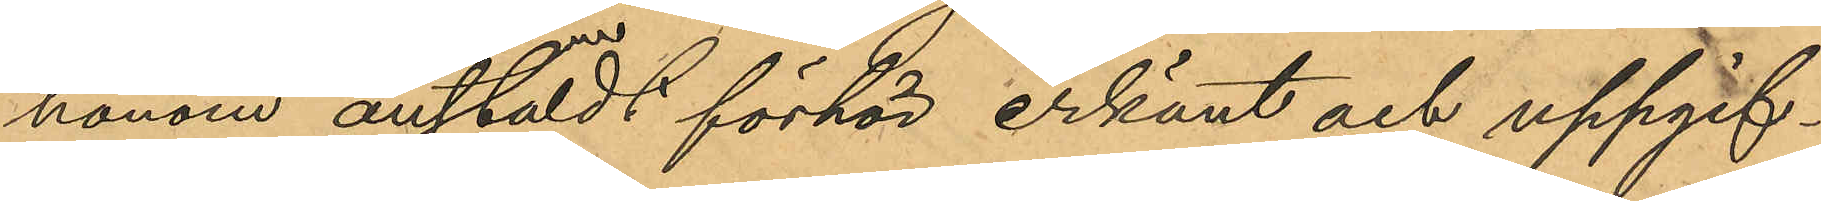honom anstäldt förhör erkänt och uppgif¬
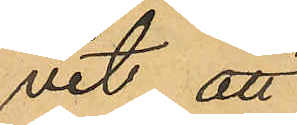vit att
